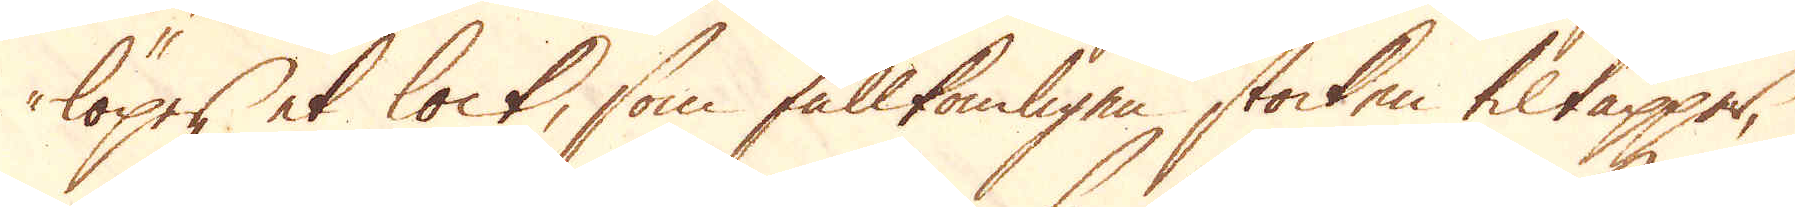löpes et lock, som fullkomligen stocken tiltäpper,
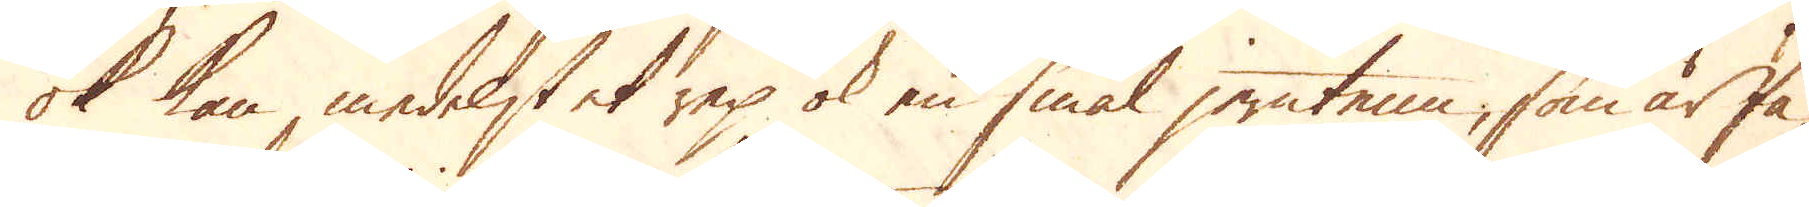ok kan, medelst et rep ok en smal jerntenn, som är fä-
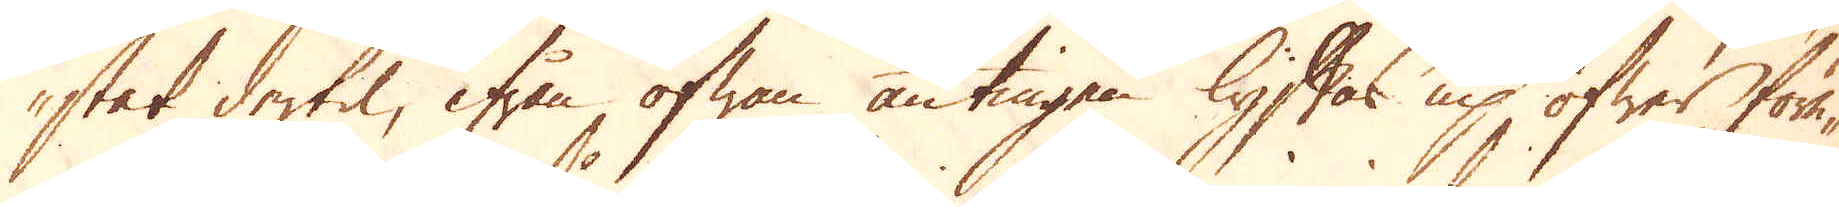stet dertil, ifrån ofwan antingen lyftas up öfwer före-
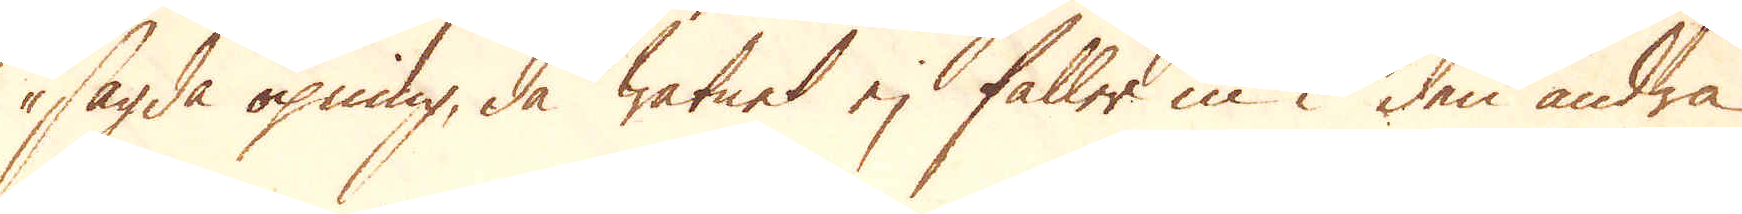sagda öpning, då watnet ej faller in i den andra
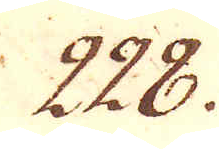228.
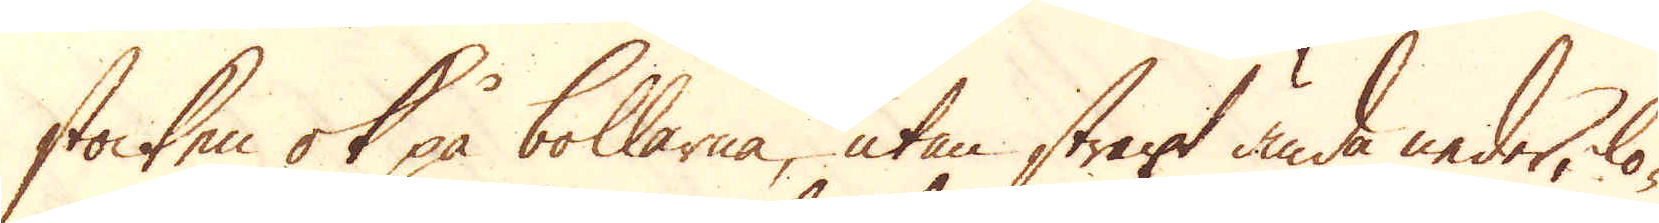stocken ok på bollarna, utan straxt ända neder, lö-
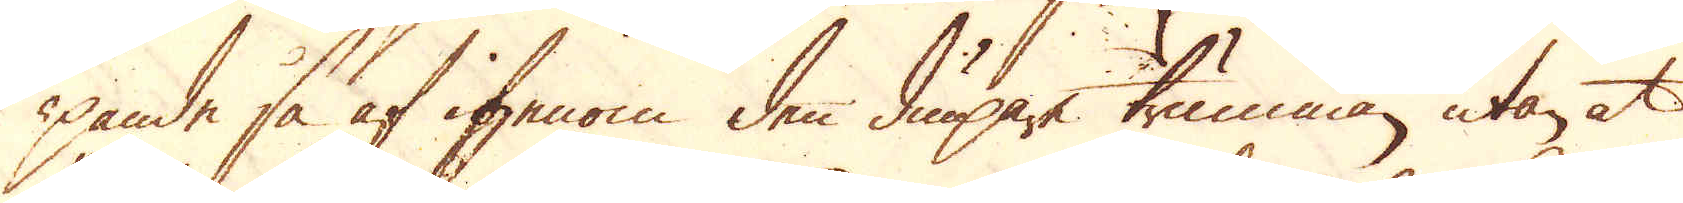pande så af igenom den diupare trumman, utan at
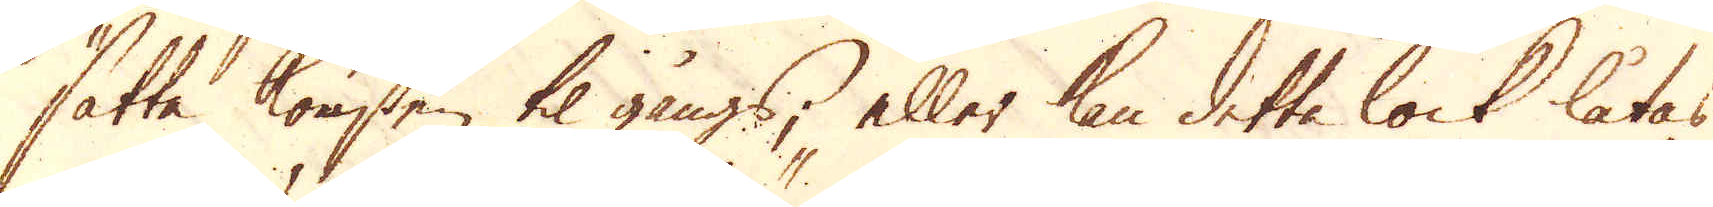sätta konsten til gångs, eller kan detta lock låtas
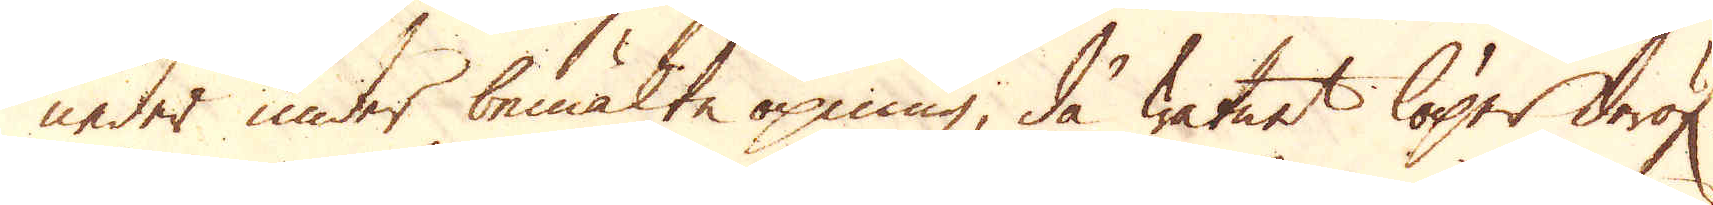neder under bemälte öpning, då watnet löper deraf
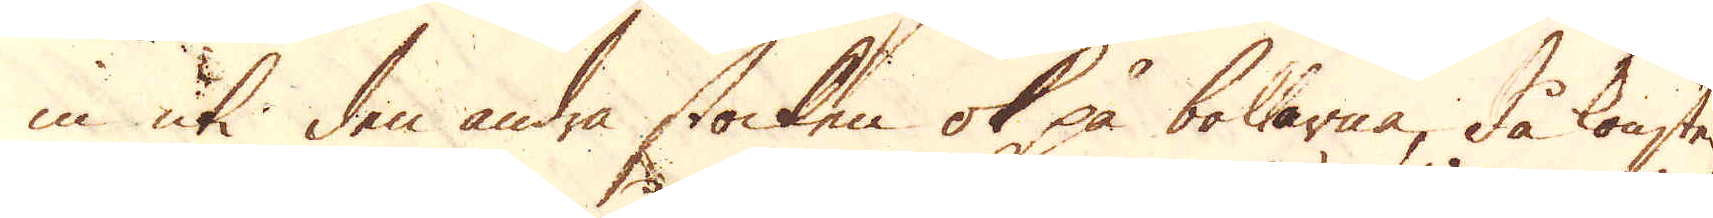in uti den andra stocken ok på bokarna, då konsten
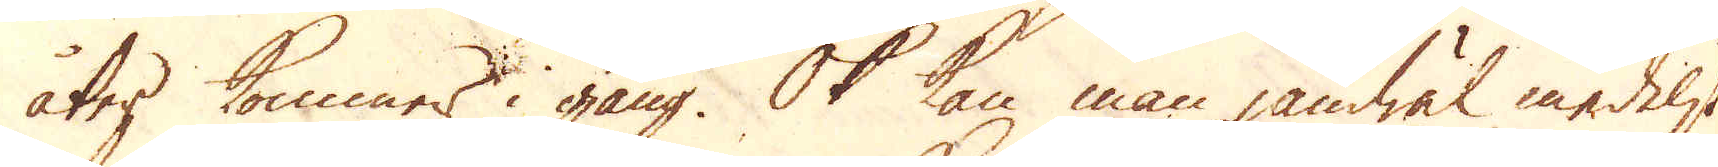åter kommer i gång. Ok kan man jämwäl medelst
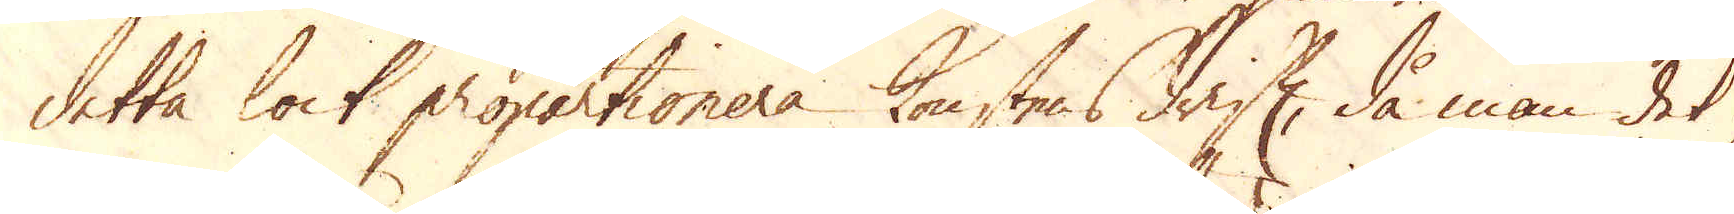detta lock propartionera konstens drift, då man det
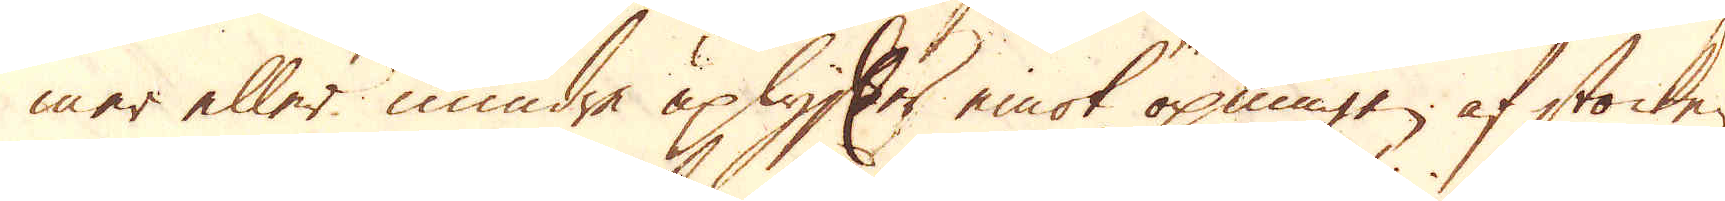mer eller mindre uplyfter emot öpningen af stocken,
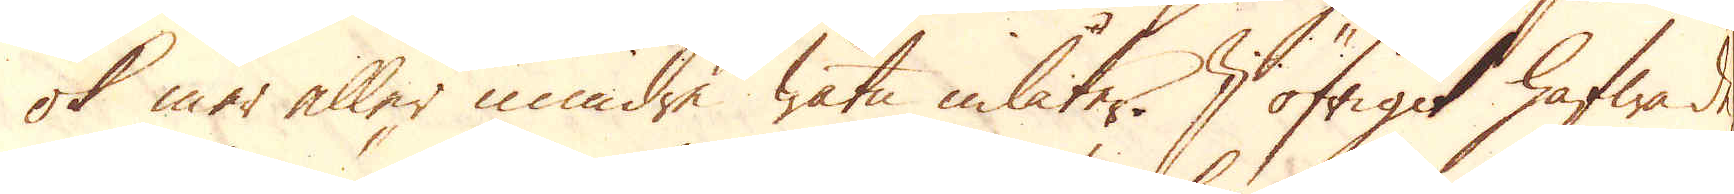ok mer eller mindre watn inlåter. I öfrigit hafwa de
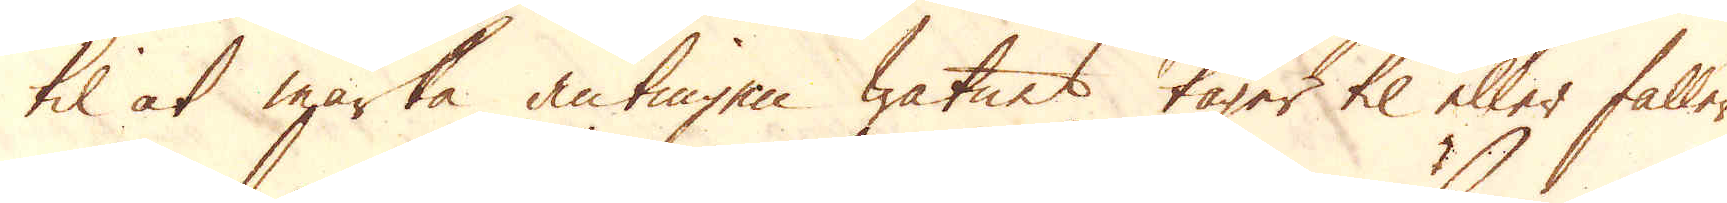til at märka, antingen watnet tager til eller faller
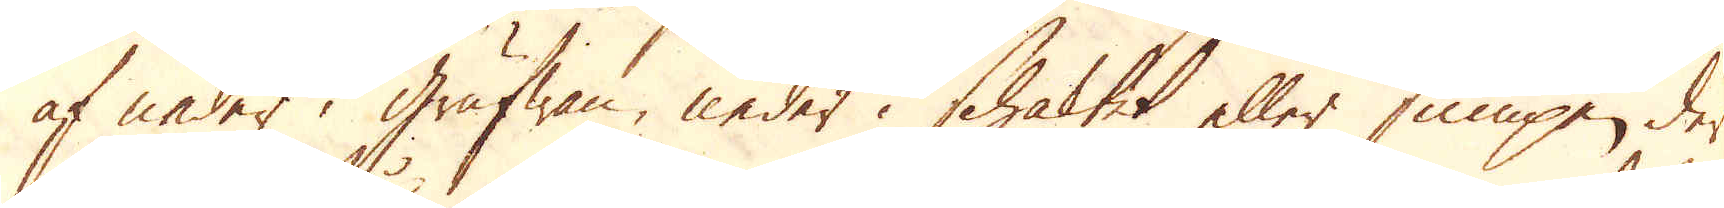af neder i grufwan, neder i schaktet eller sumpen, der
